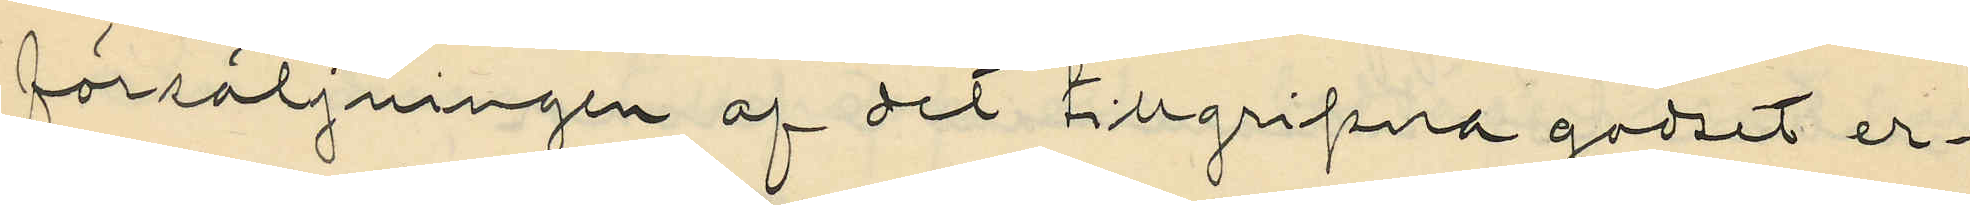försäljningen af det tillgripna godset er¬
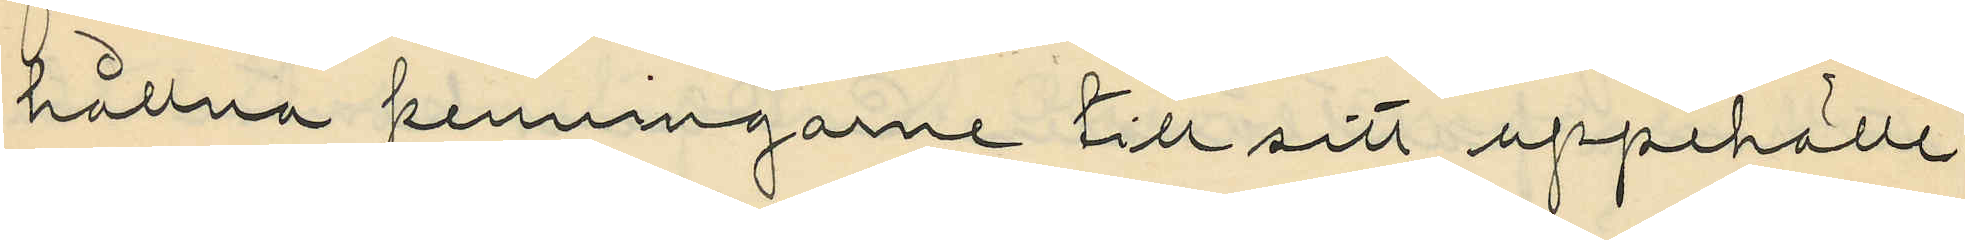hållna penningarne till sitt uppehälle
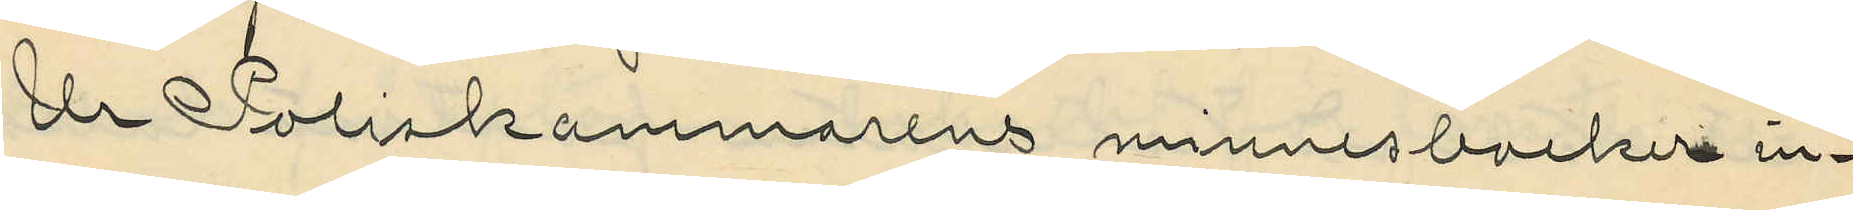Ur Poliskammarens minnesbocker in¬
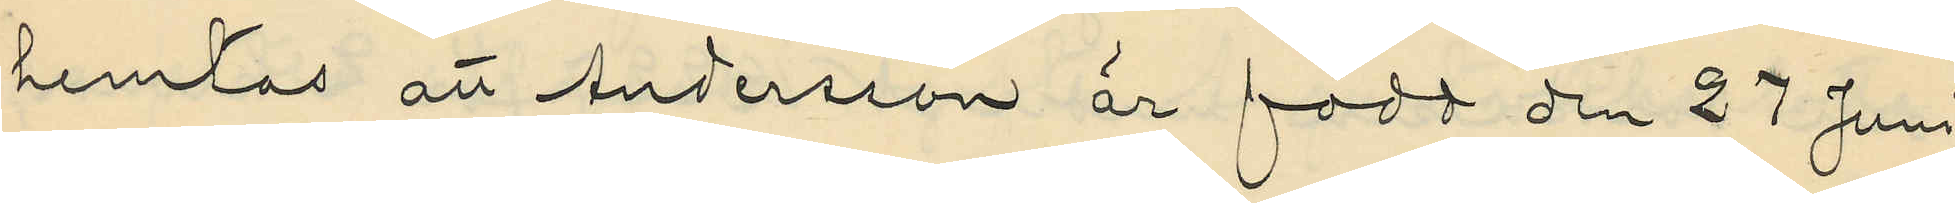hemtas att Andersson är född den 27 Juni
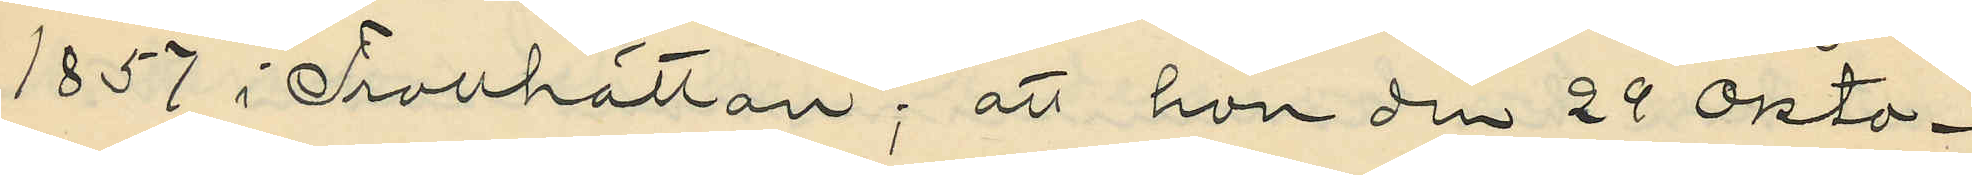1857 i Trollhättan; att hon den 29 Okto¬
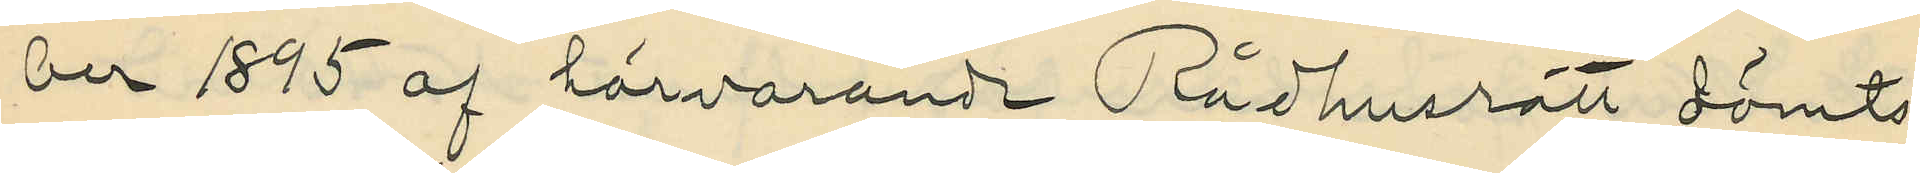ber 1895 af härvarande Rådhusrätt dömts
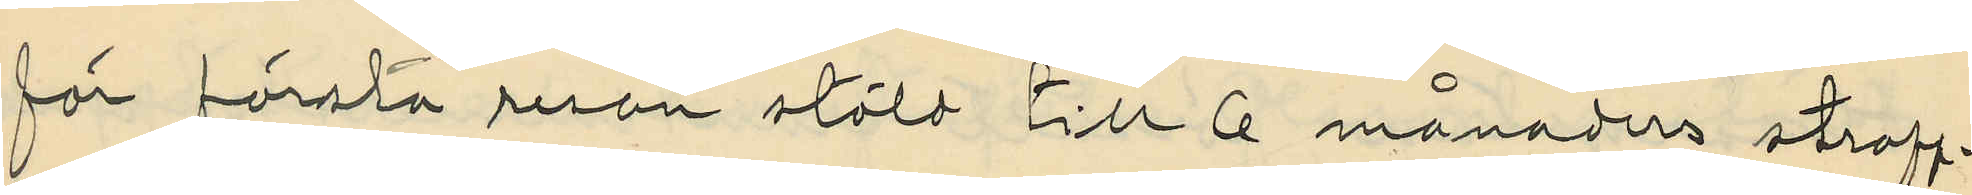för första resan stöld till 6 månaders straff¬
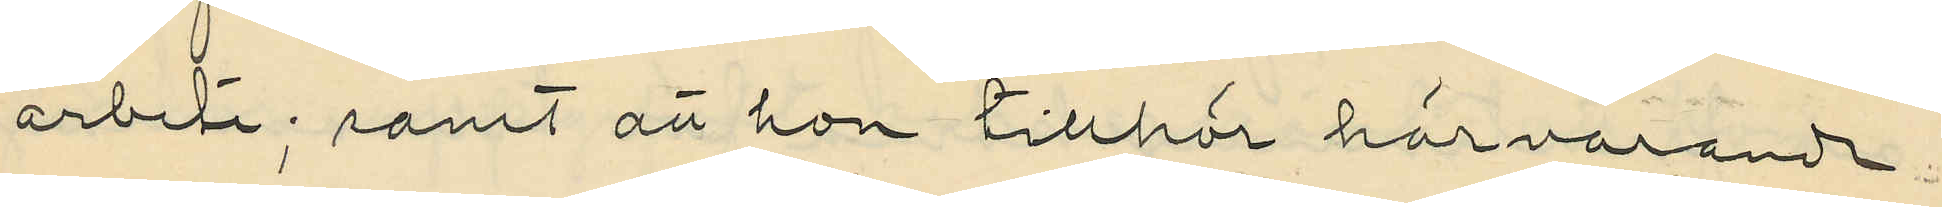arbete; samt att hon tillhör härvarande
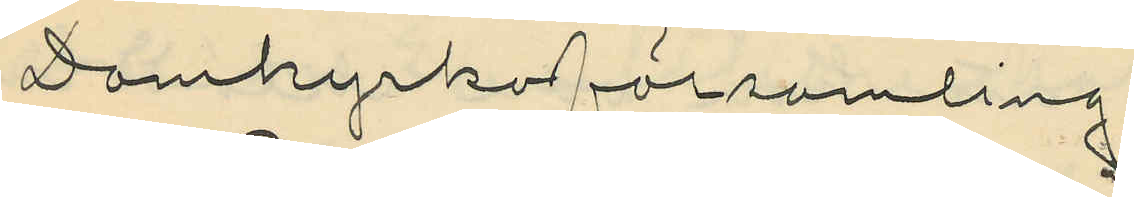Domkyrkoförsamling.
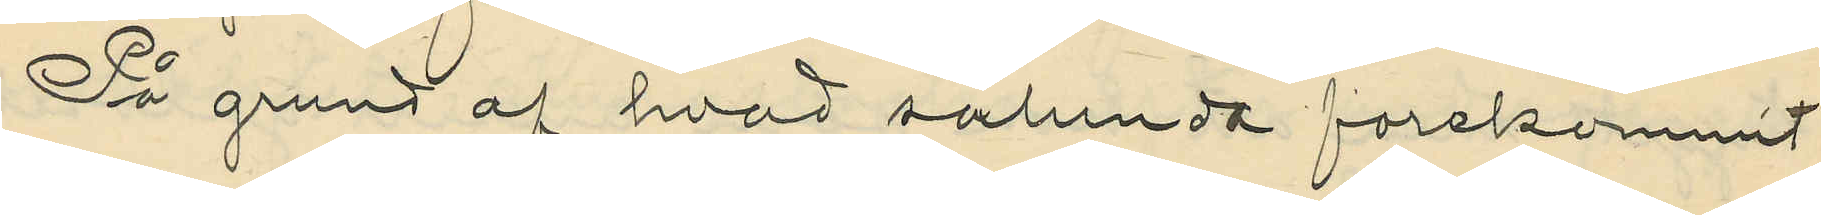På grund af hvad sålunda forekommit
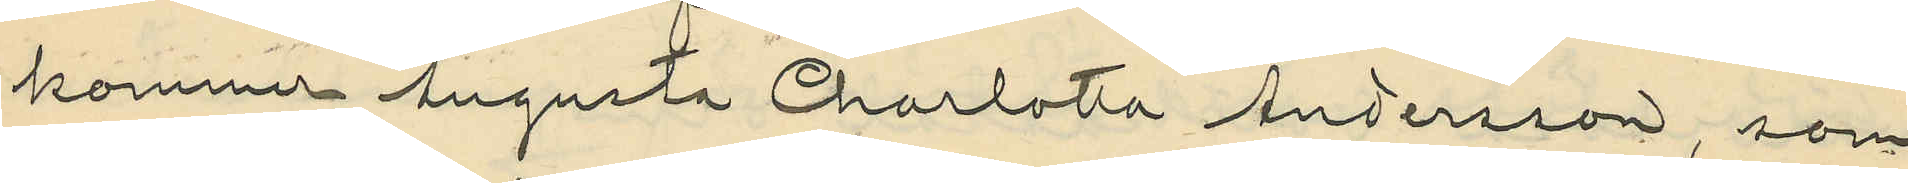kommer Augusta Charlotta Andersson, som
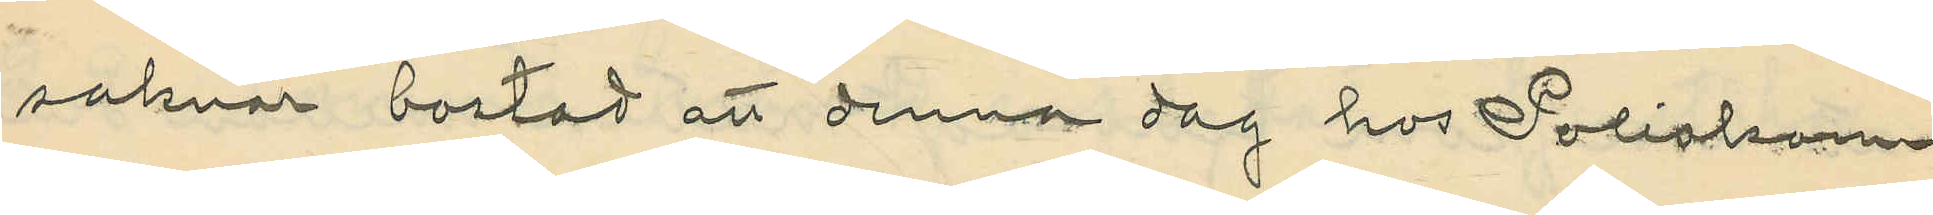saknar bostad att denna dag hos Poliskam¬
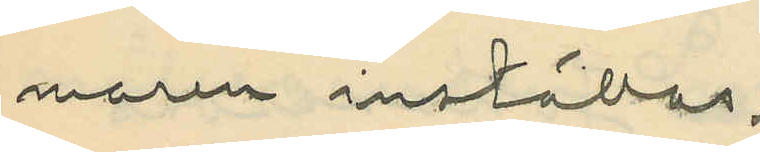maren inställas.
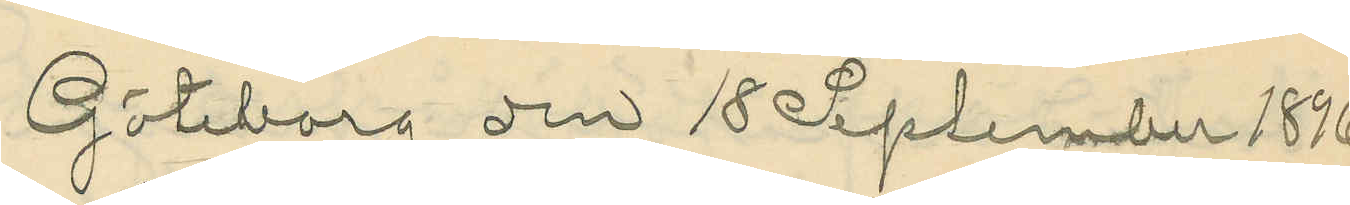Göteborg den 18 Seplember 1896
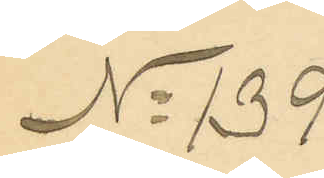No 139
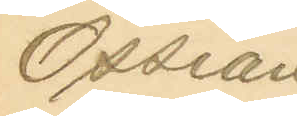Ossian
